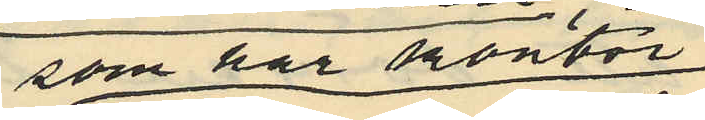som har kontor
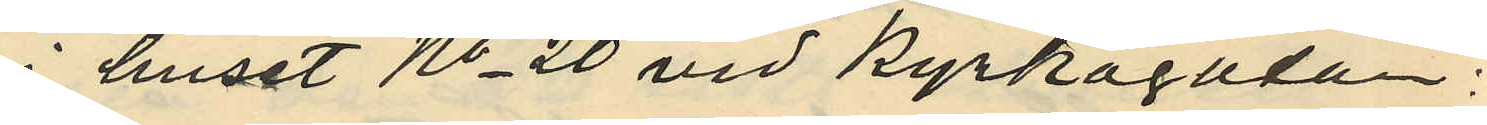huset No 20 vid Kyrkogatan:
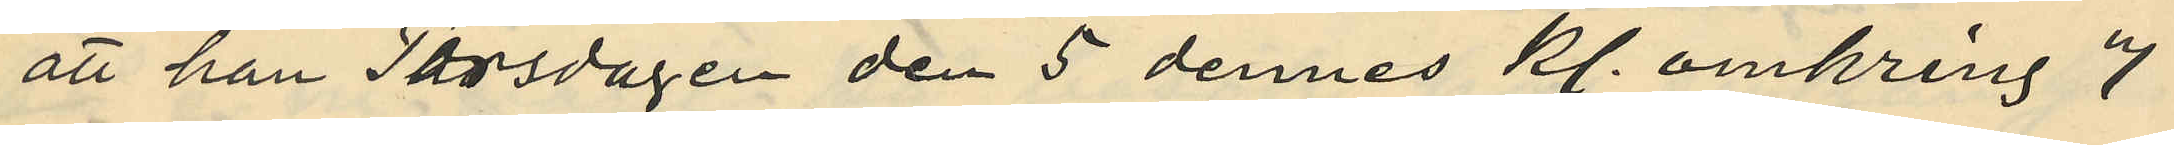att han Torsdagen den 5 dennes kl. omkring 7
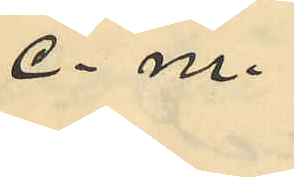e. m.
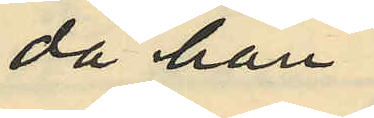då han
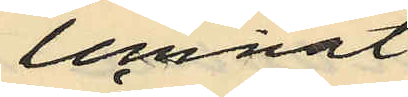lemnat
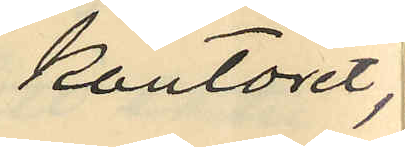kontoret,
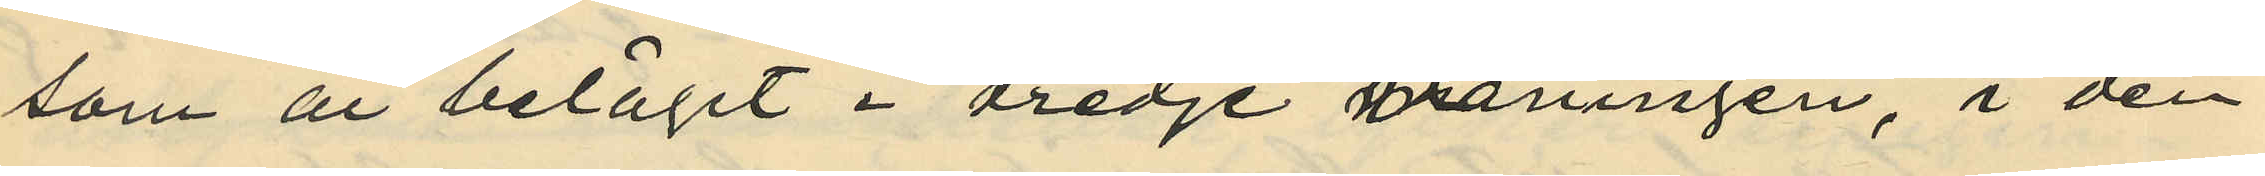som är beläget i tredje våningen, i den
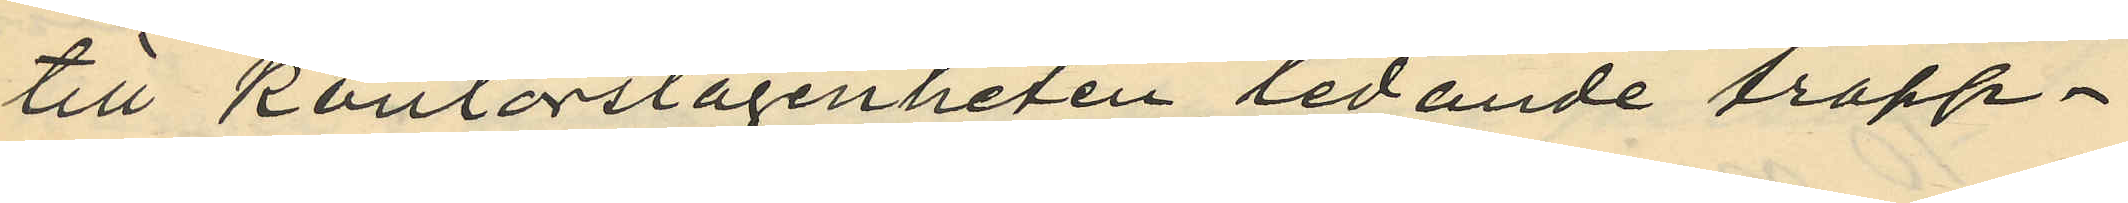till kontorslägenheten ledande trapp¬
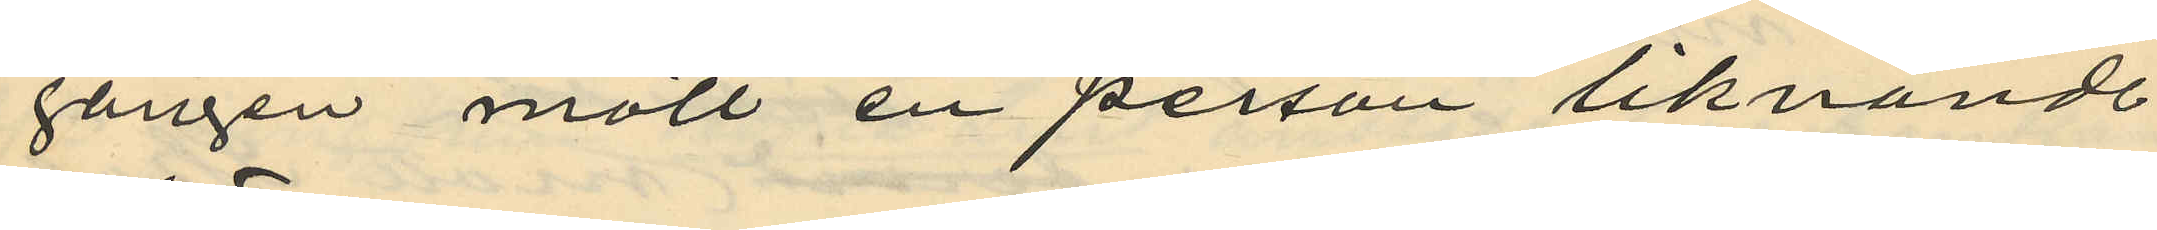gången mött en person liknande
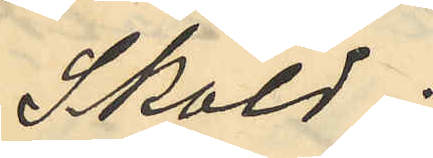Sköld;
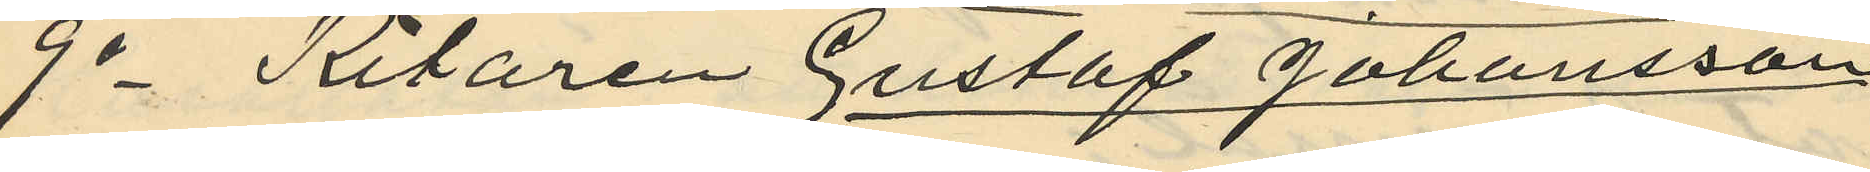9o Ritaren Gustaf Johansson
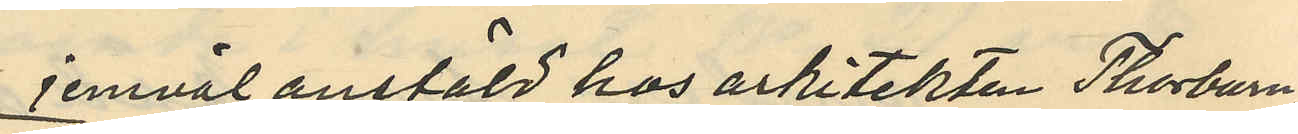jemväl anstäld hos arkitekten Thorburn
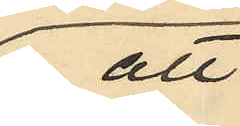att
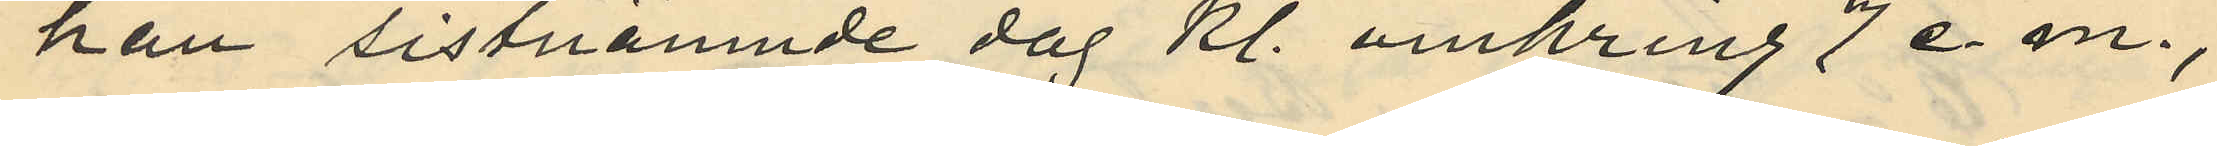han sistnämnde dag kl. omkring 7 e. m.,
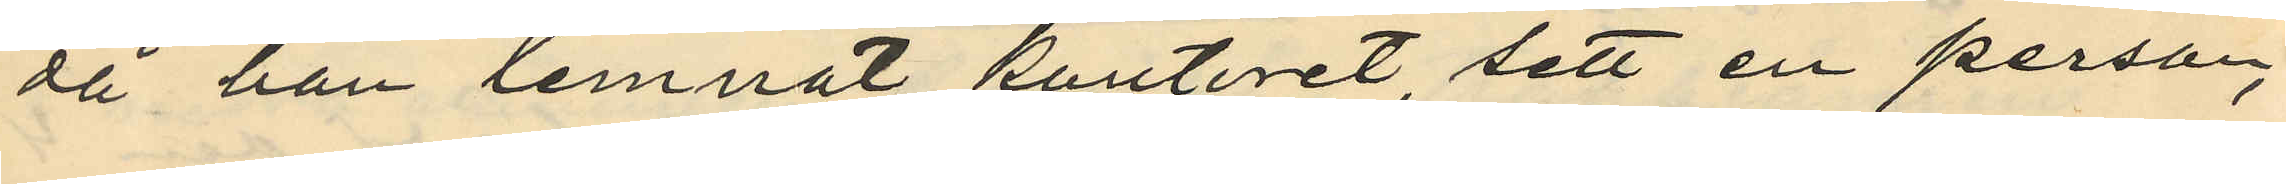då han lemnat konteret, sett en person,
